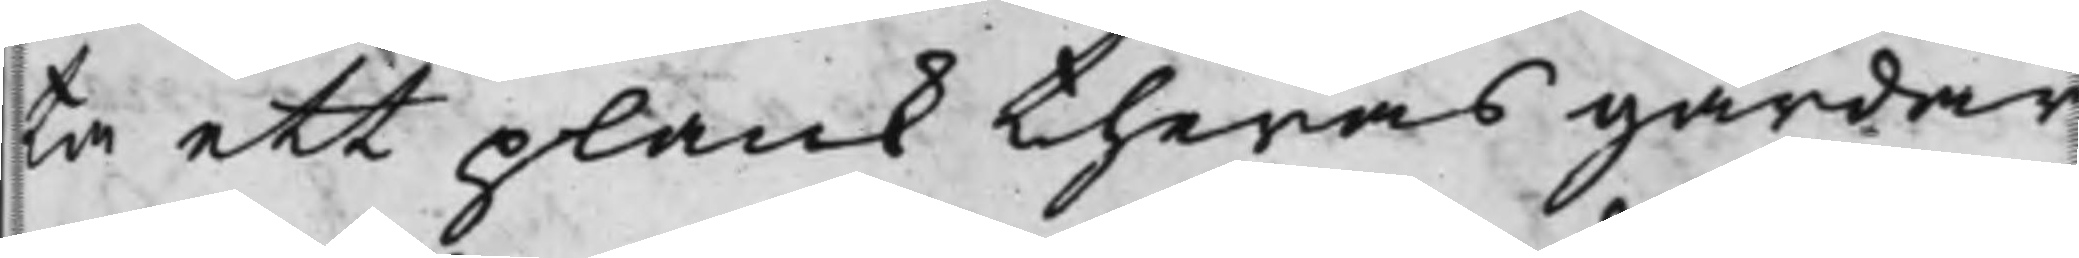ta ett plank theras gårdar
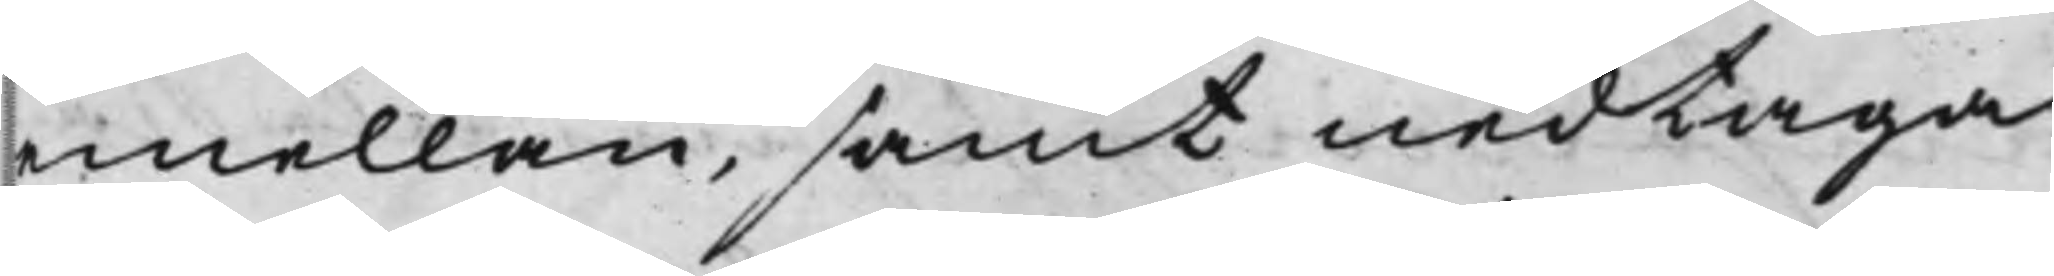emellan, samt nedtaga
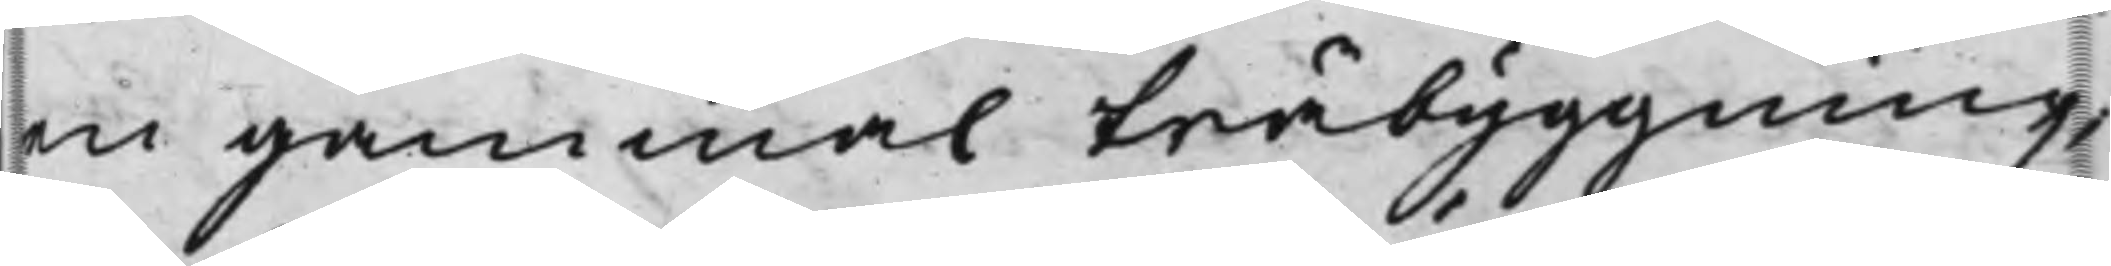en gammal träbyggning,
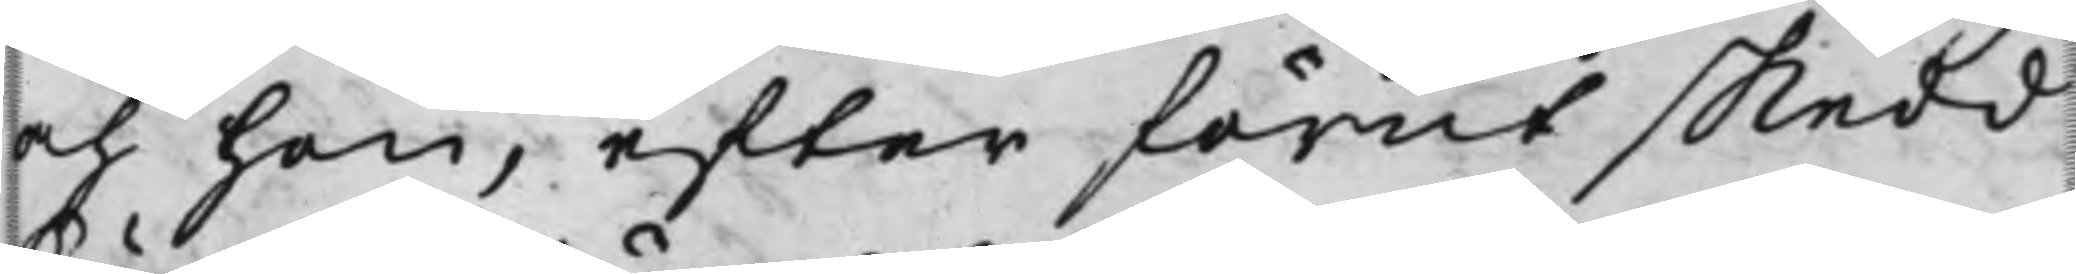och hon, efter förut skedd
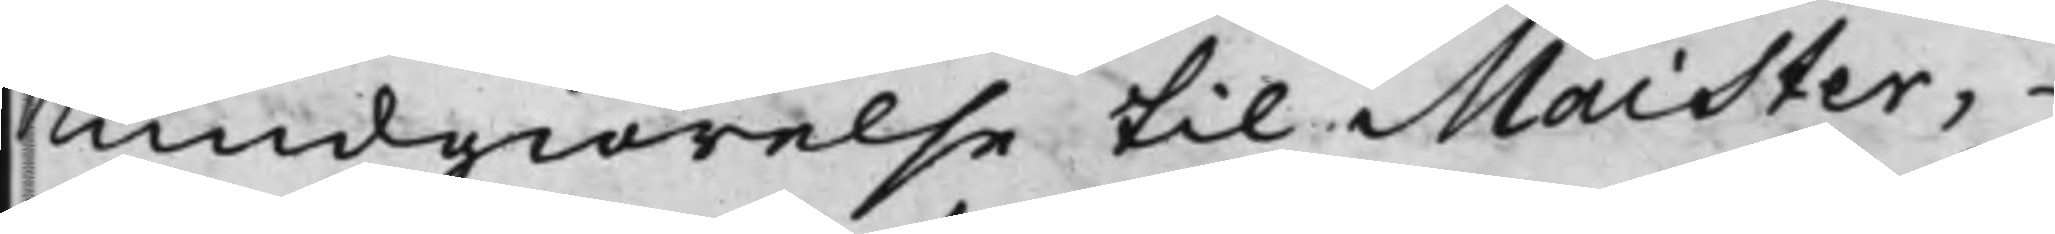Kundgiörelse til Maister,
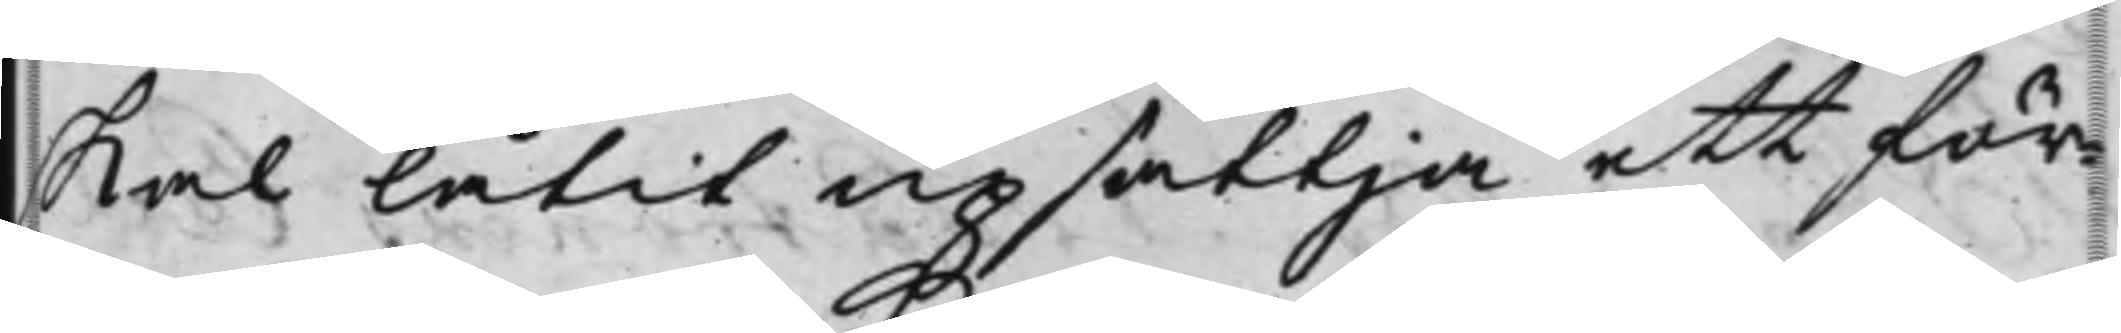skal låtit upsättja ett för¬
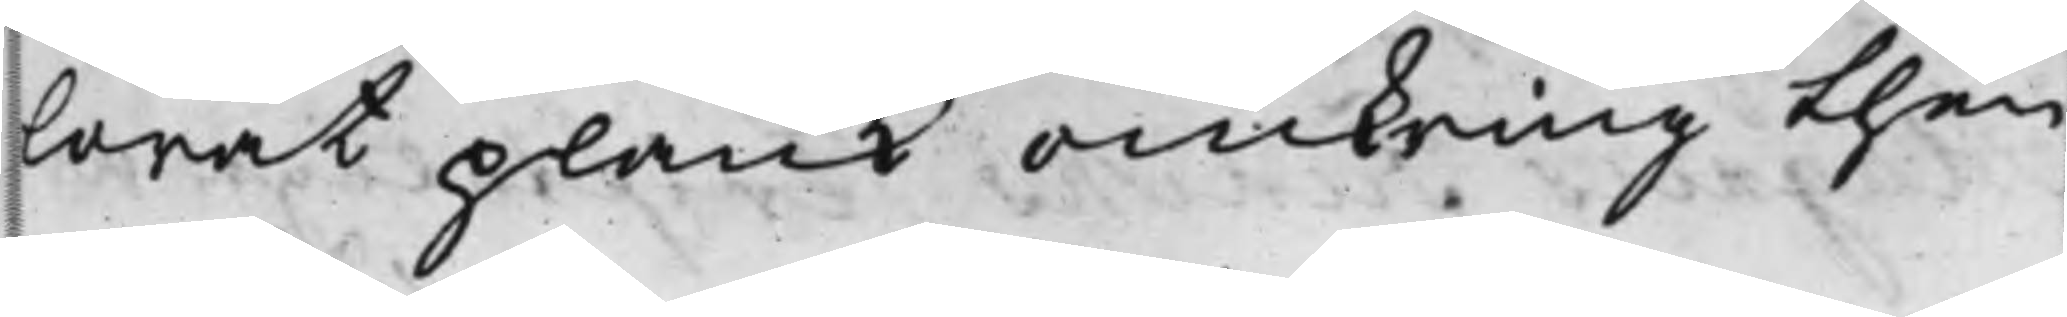lorat plank omkring then
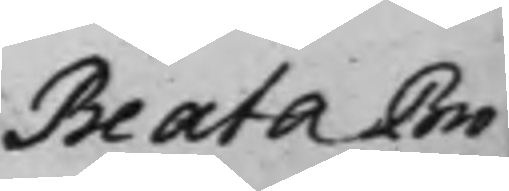Beata Bro¬
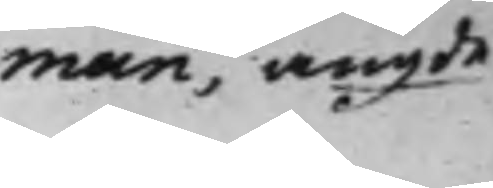man, angde
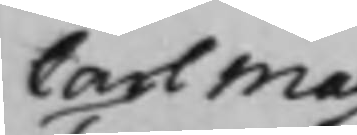Carl Magnus
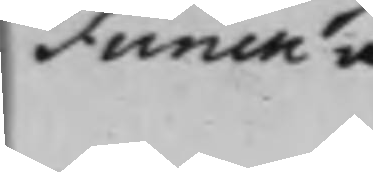Funck angde. 
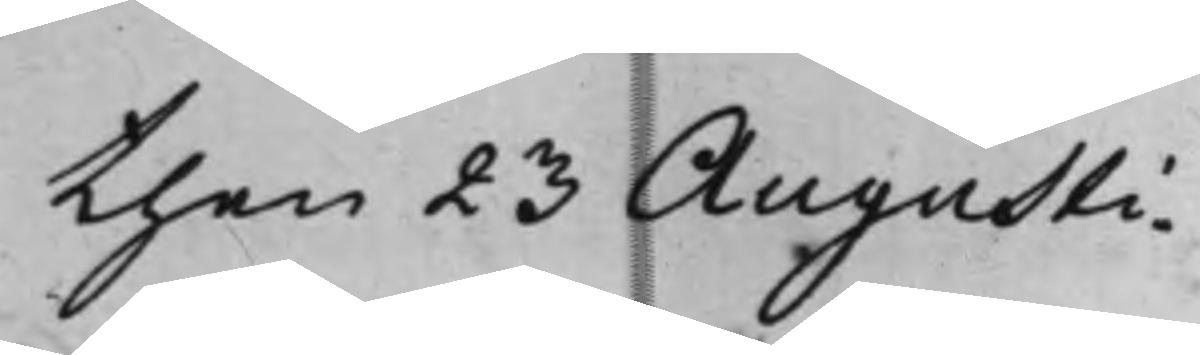then 23 Augusti
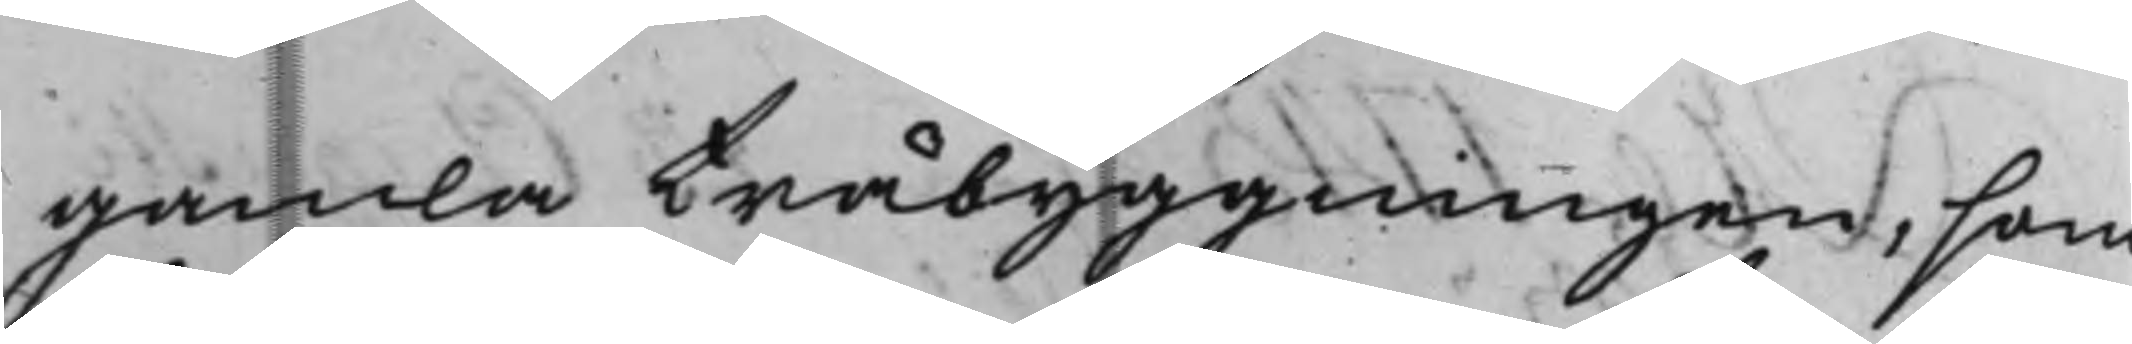gamla träbyggningen, som
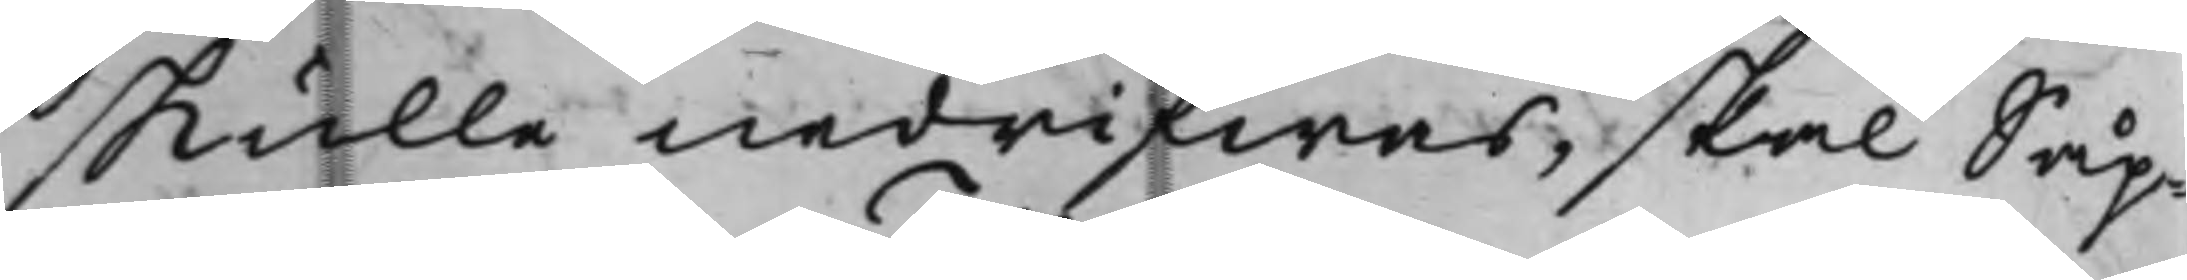skulle nedrifwas, skal Såp¬
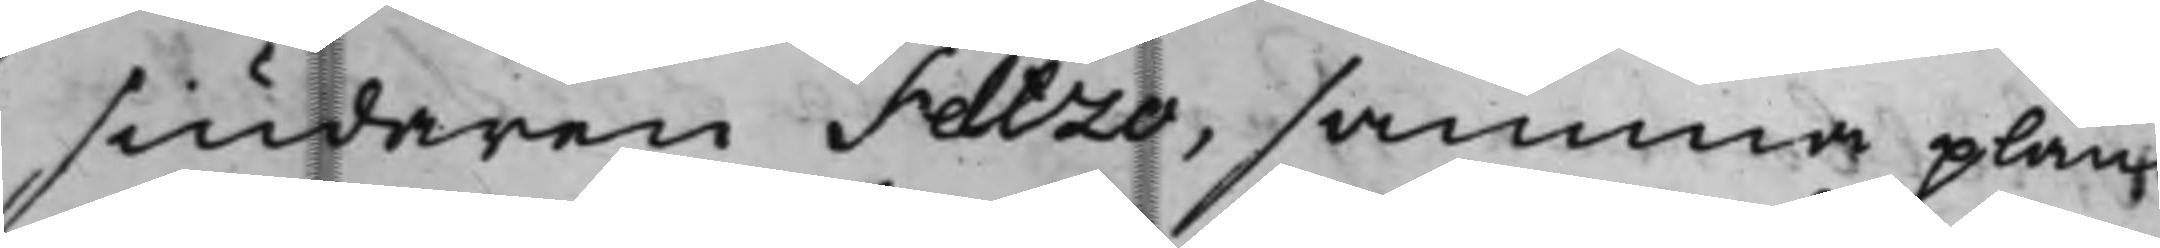siudaren Feltzo, samma plank
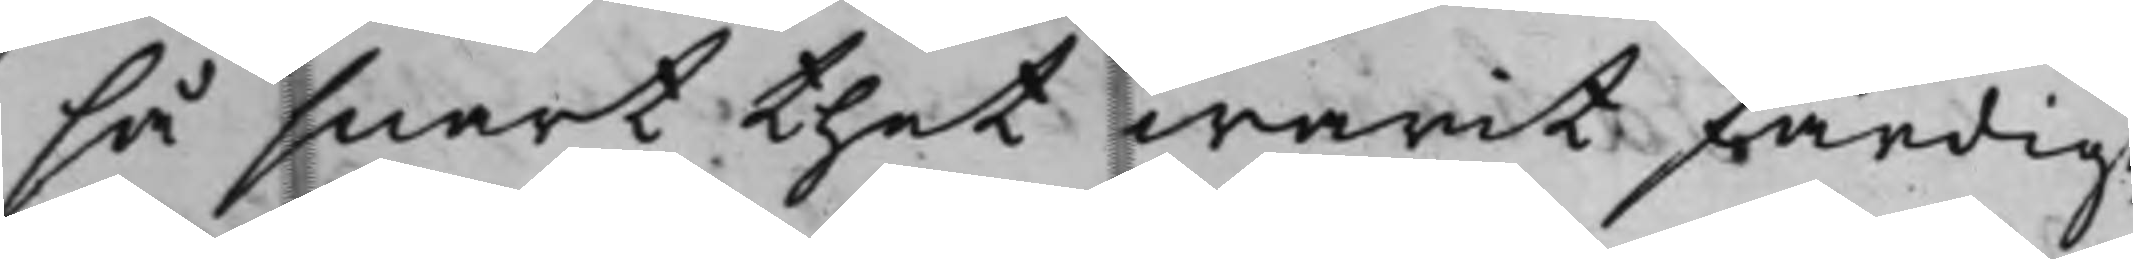så snart thet warit färdigt,
